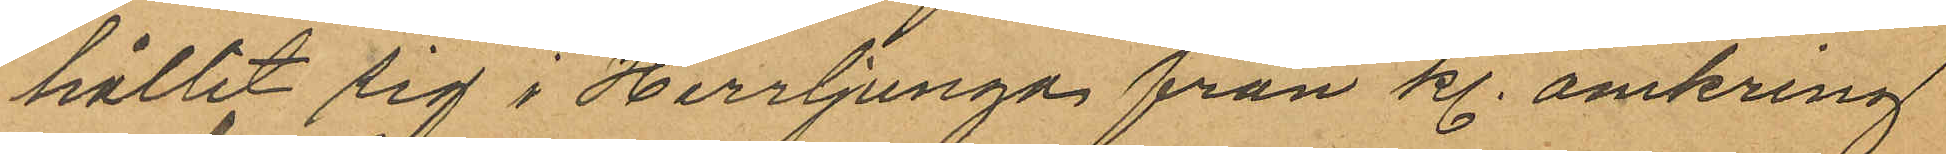hållit sig i Herrljunga från kl. omkring
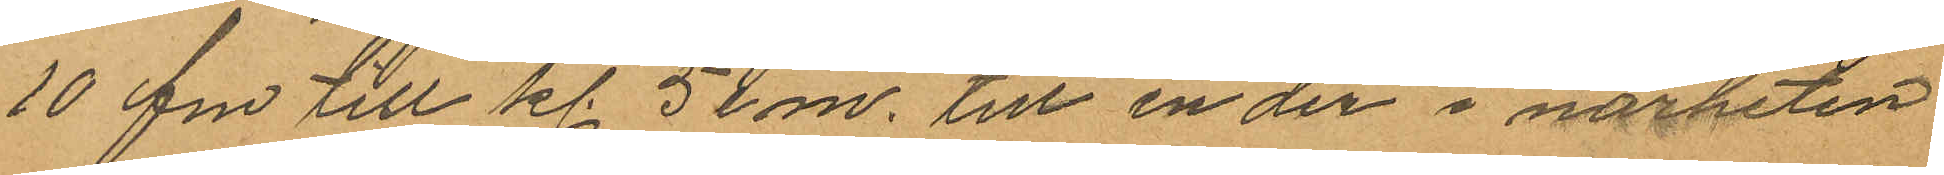10 fm till kl. 5 e m. till en der i närheten
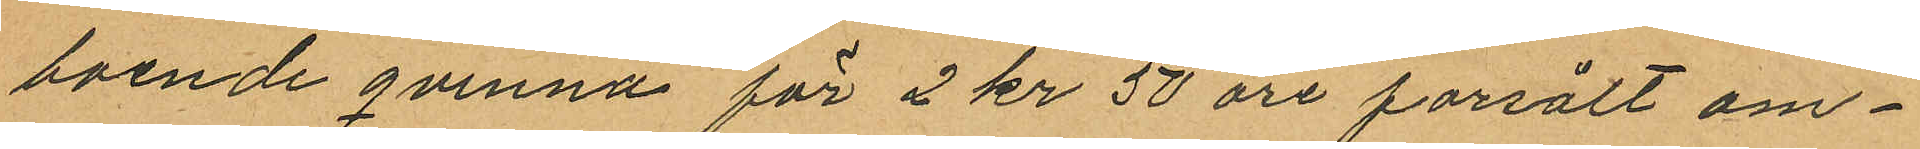boende qvinna för 2 kr 50 öre försålt om¬
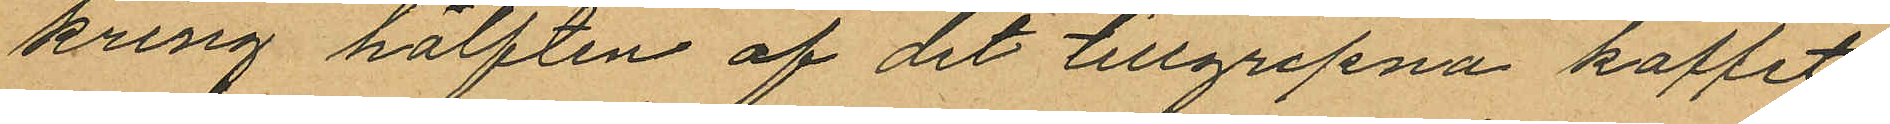kring hälften af det tillgripna kaffet
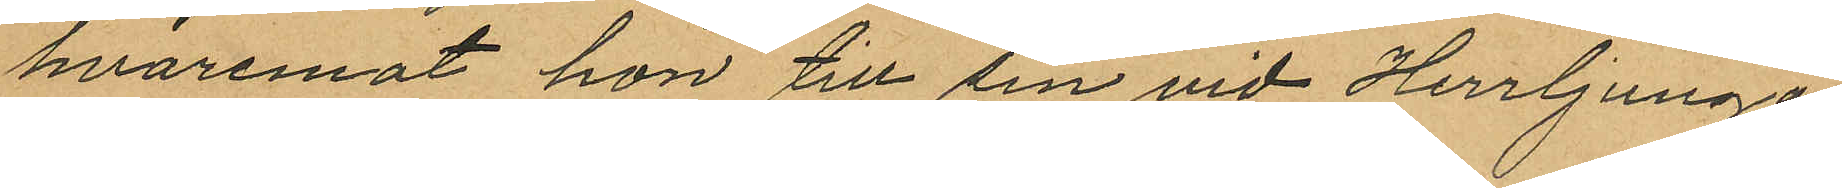hvaremot hon till sin vid Herrljunga
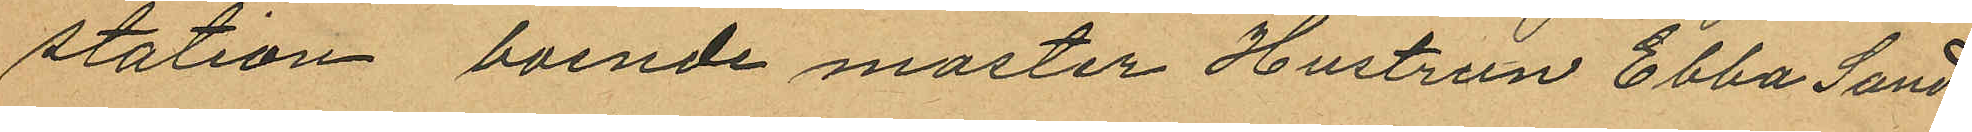station boende moster Hustrun Ebba Sand¬
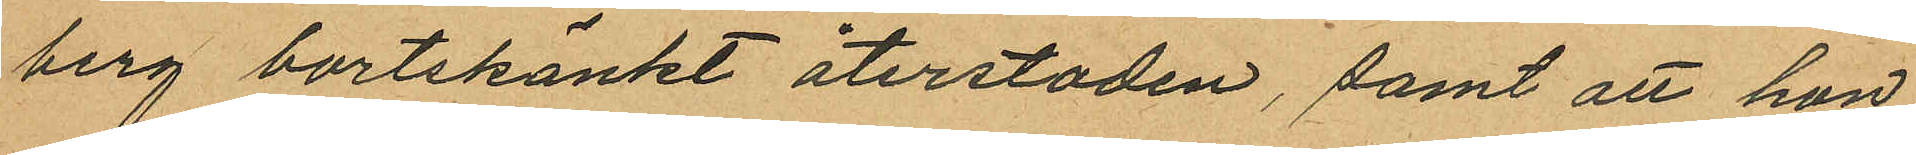berg bortskänkt återstoden, samt att hon
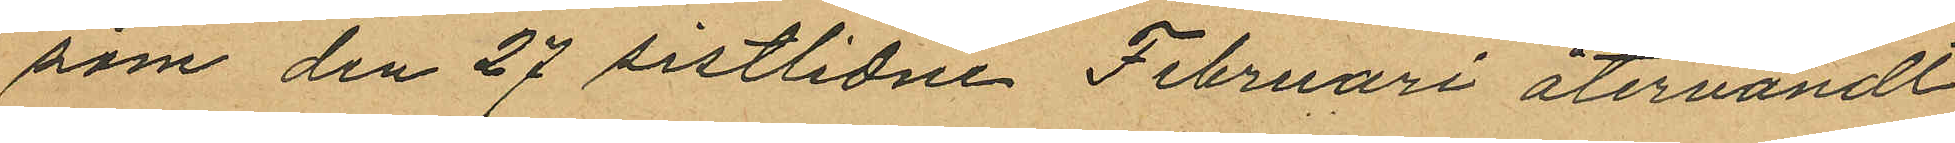som den 27 sistlidne Februari återvändt
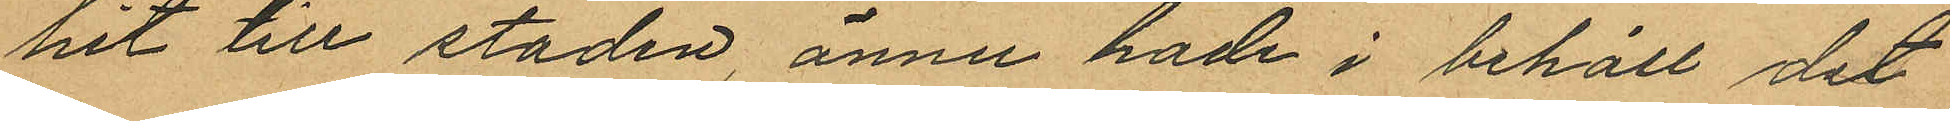hit till staden, ännu hade i behåll det
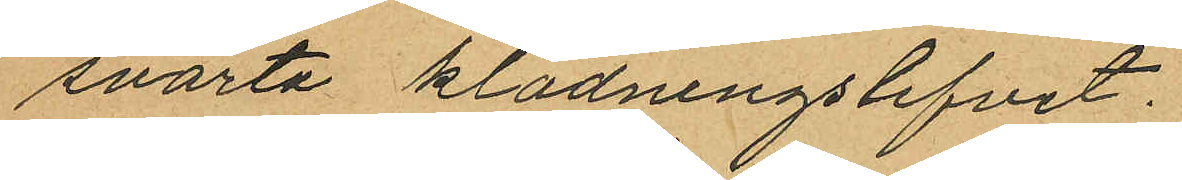svarta klädningslifvet.
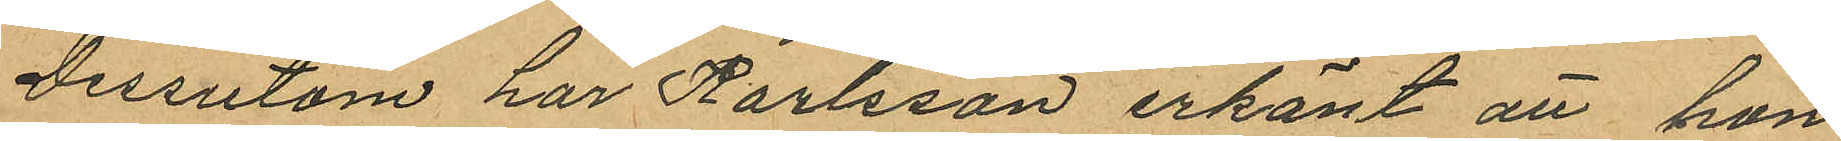Dessutom har Karlsson erkänt att hon
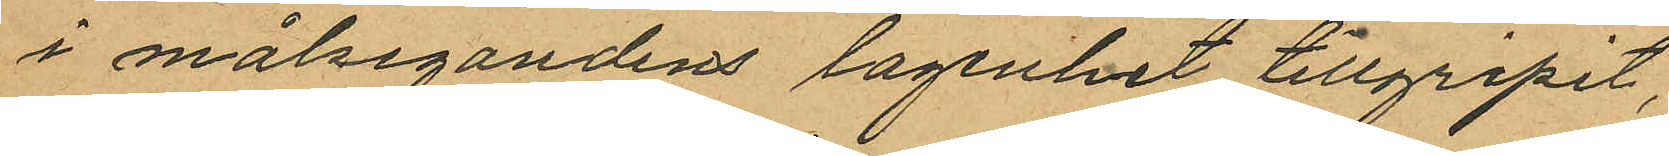i målsegandens lagenhet tillgripit,
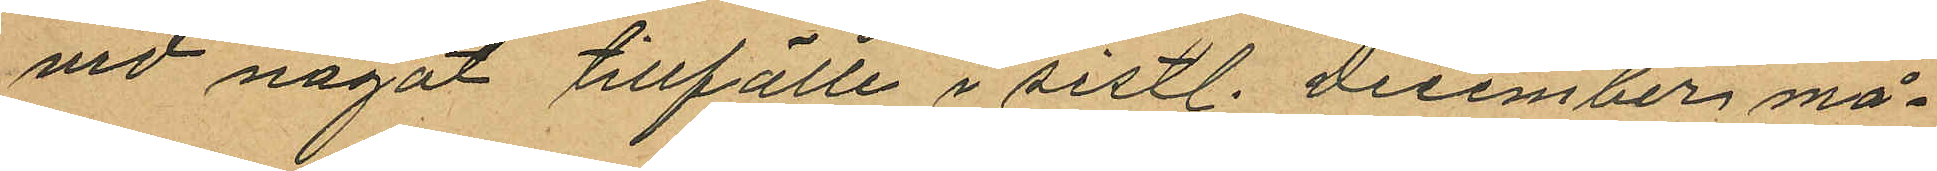vid något tillfälle i sistl. December må¬
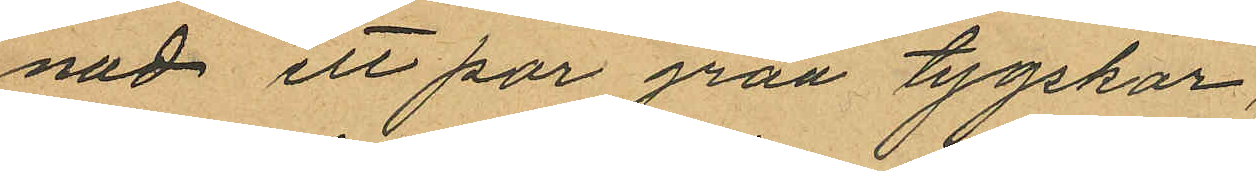nad ett par gråa tygskor,
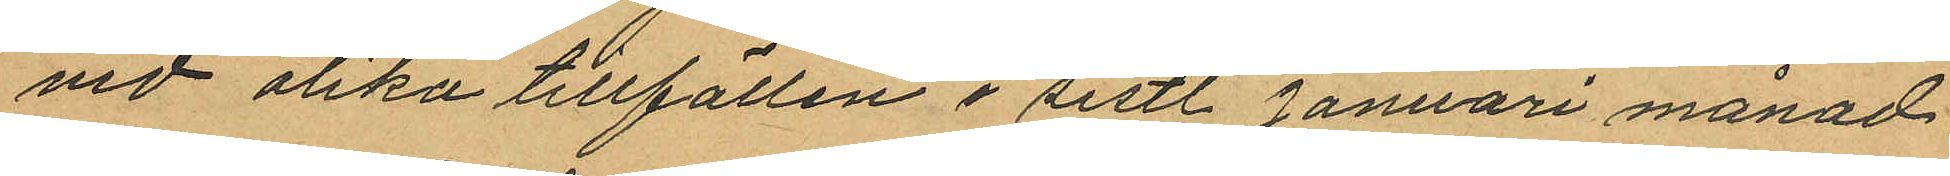vid olika tillfällen i sistl. Januari månad
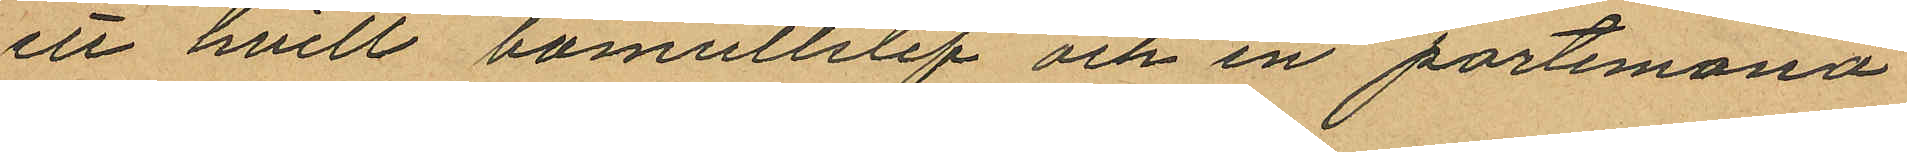ett hvitt bomullslif och en portemonä
